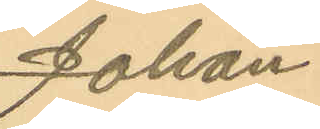Johan
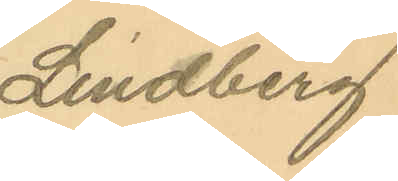Lindberg
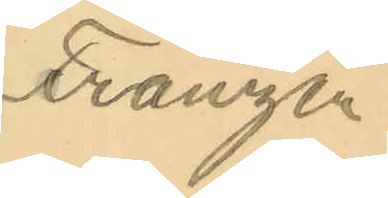Franzén
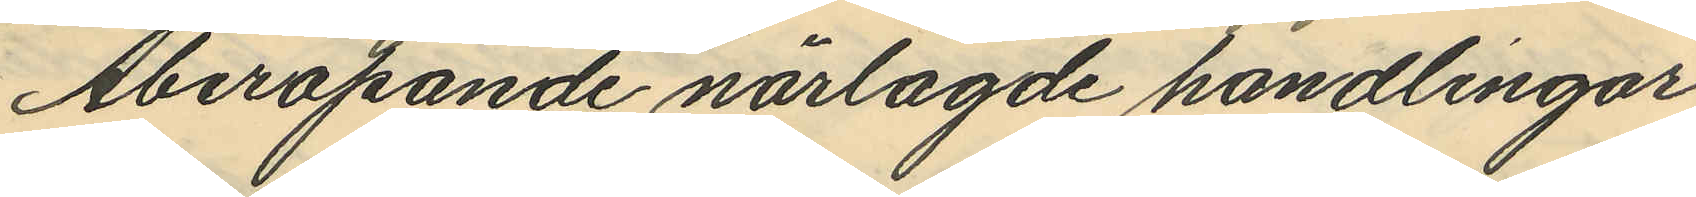Åberopande närlagde handlingar
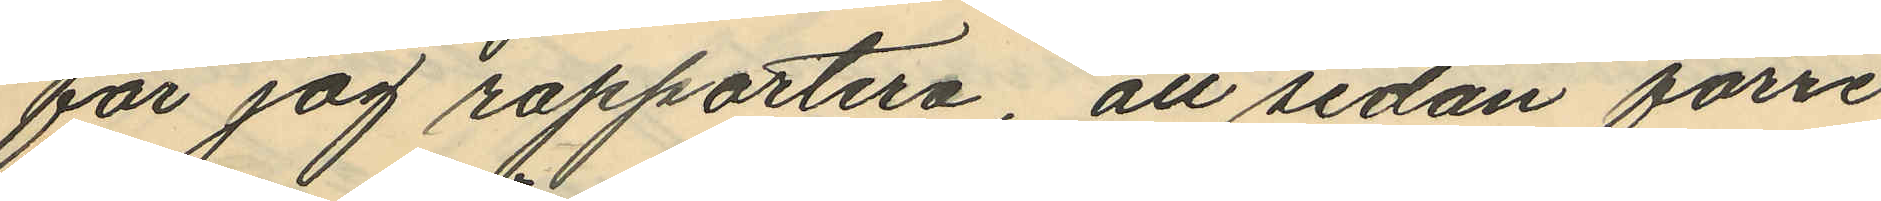får jag rapportera, att sedan förre
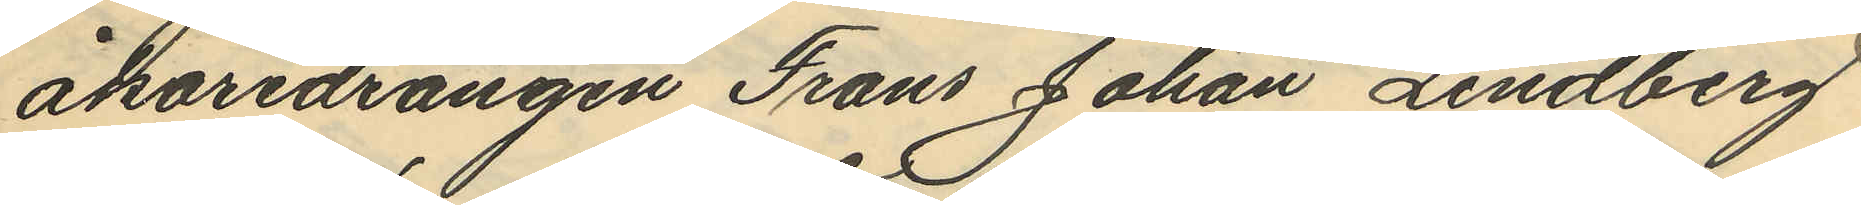åkaredrängen Frans Johan Lindberg
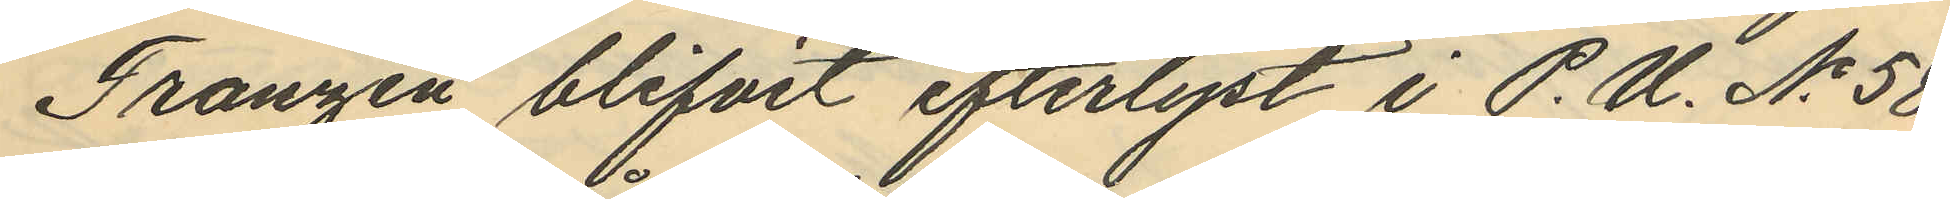Franzén blifvit efterlyst i P.U. No 58
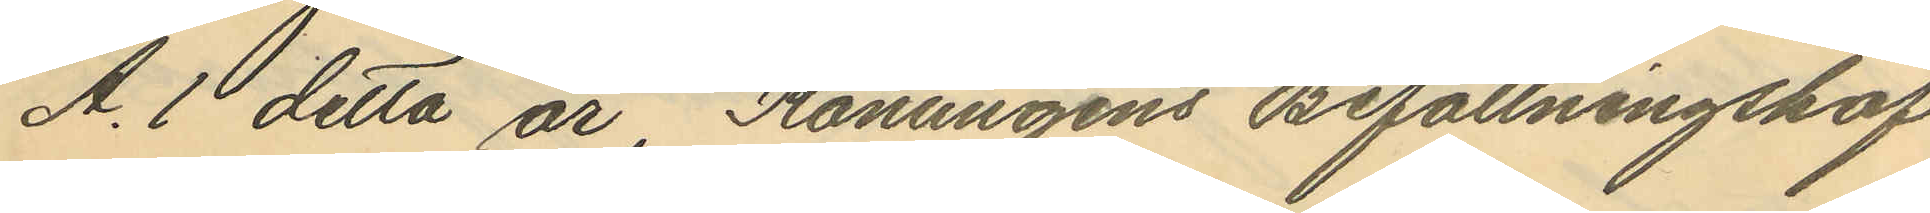A. 1 detta år, Konungens Befallningshaf¬
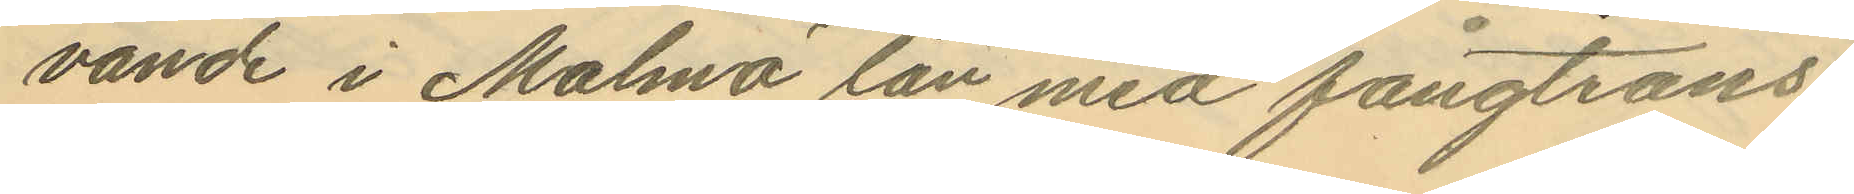vande i Malmö län med fångtrans¬
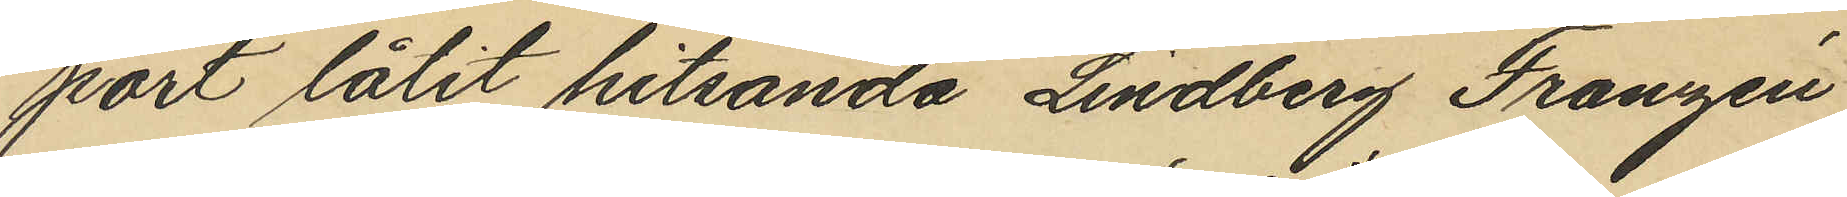port låtit hitsända Lindberg Franzén
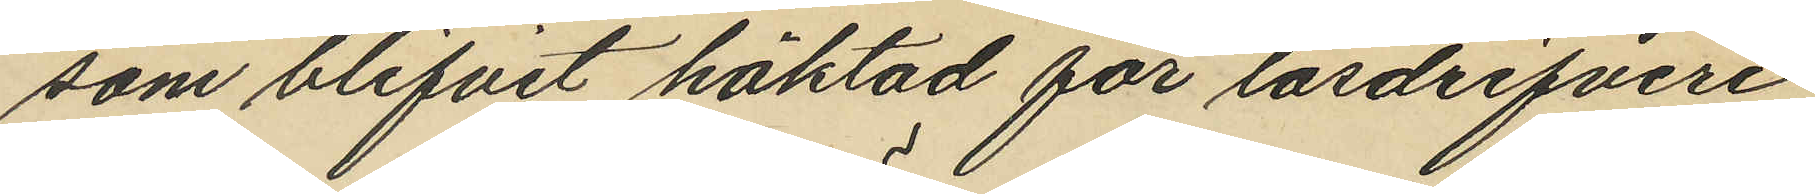som blifvit häktad för lösdrifveri
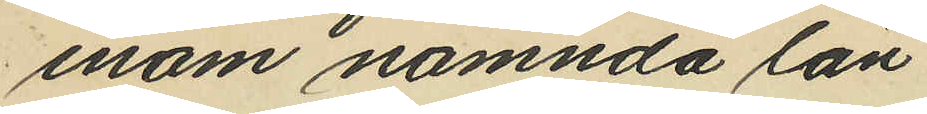inom nämnda län.
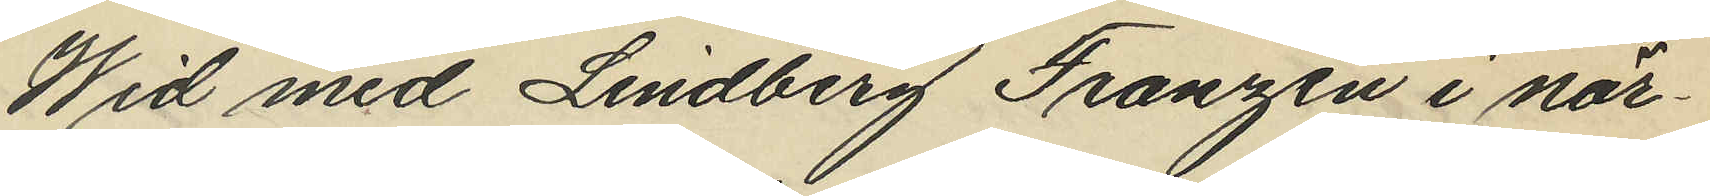Wid med Lindberg Franzén i när¬
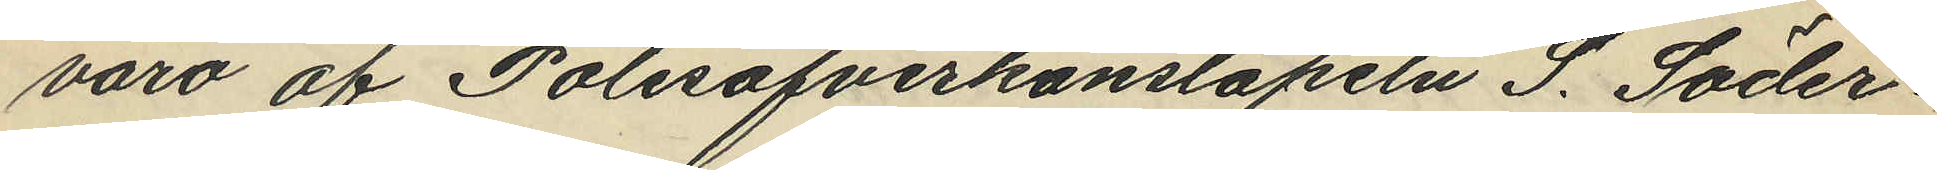varo af Polisöfverkonstapeln S. Söder¬
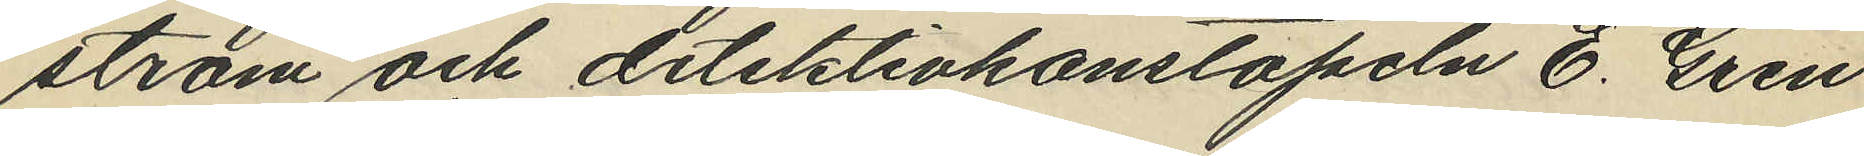ström och detektivkonstapeln E. Gren
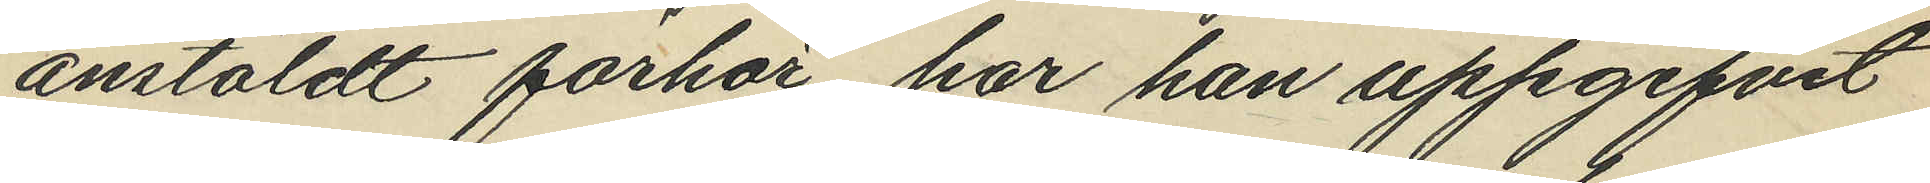anstäldt förhör, har han uppgifvit
